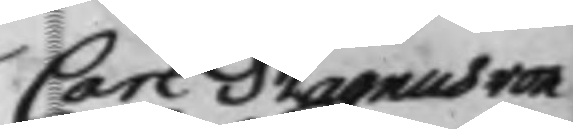Carl Magnuss von
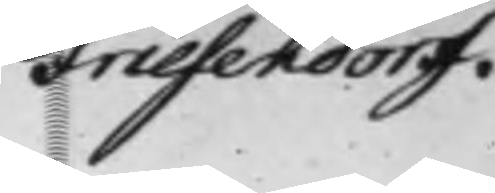Friesendorff.
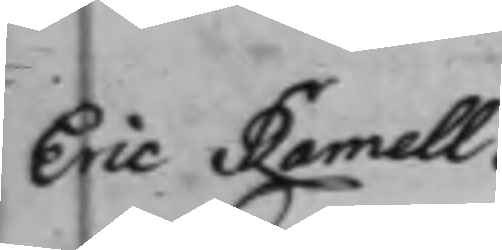Eric Ramell.
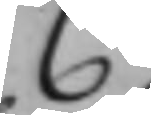C.
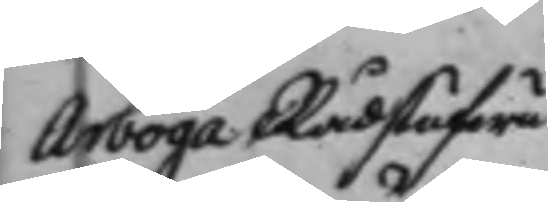Arboga Rådstufwu¬
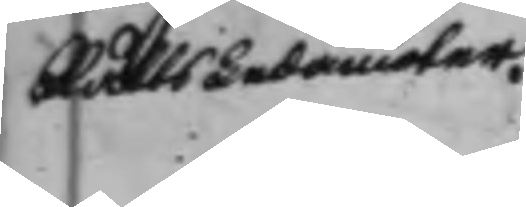Rätts Ledamöter.
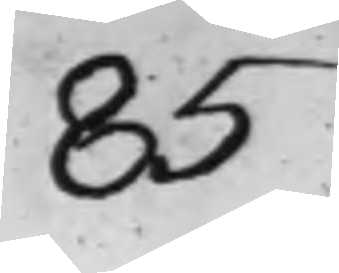85
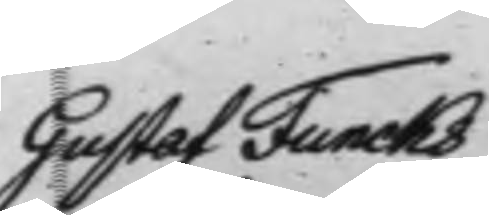Gustaf Funcks
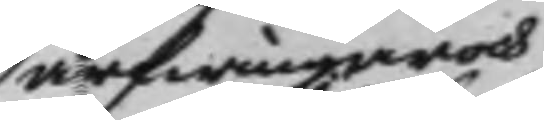arfwingar och
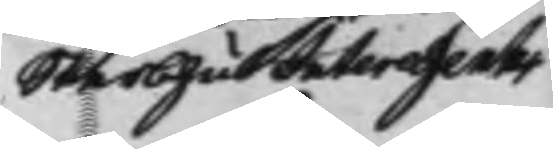SterbhusInteressenter
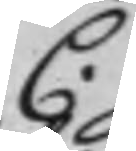C.
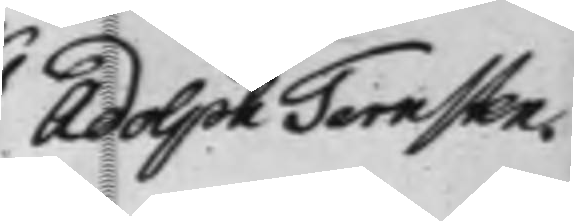Adolph Ternsten.
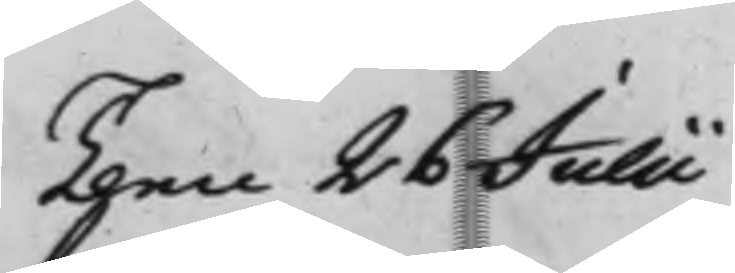Then 26 Julii
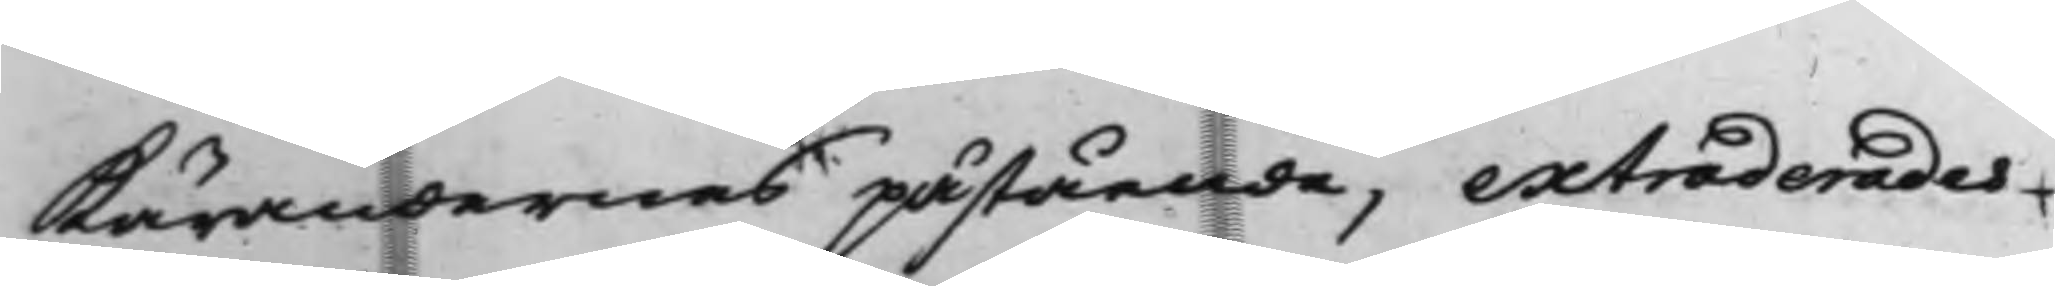Kärandernes påstående, extraderades
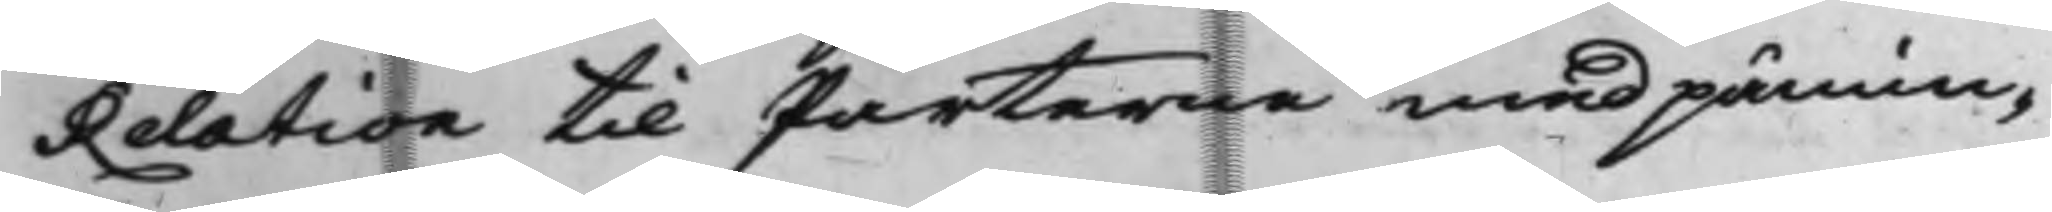Relation til Parterne med påmin¬
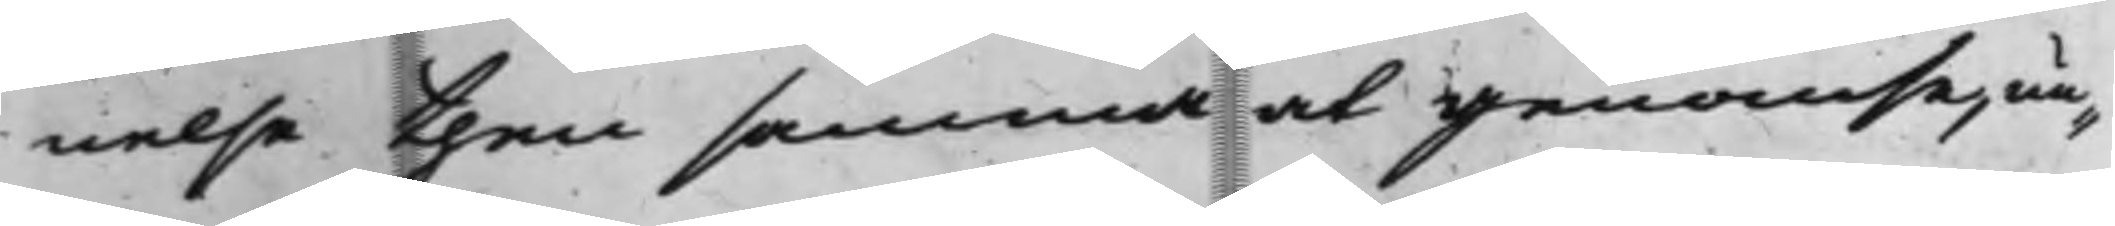nelse then samma at genomse, un¬
